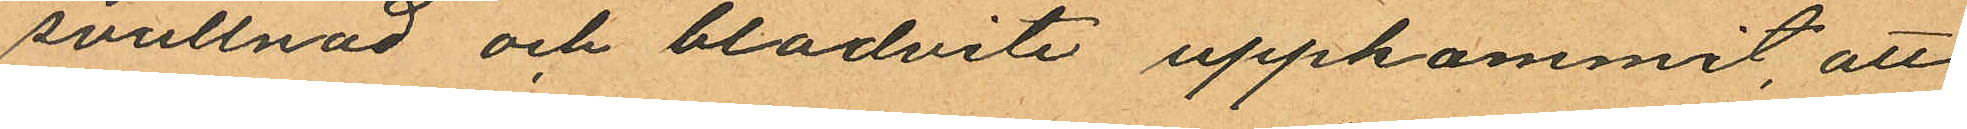svullnad och blodvite uppkommit, att
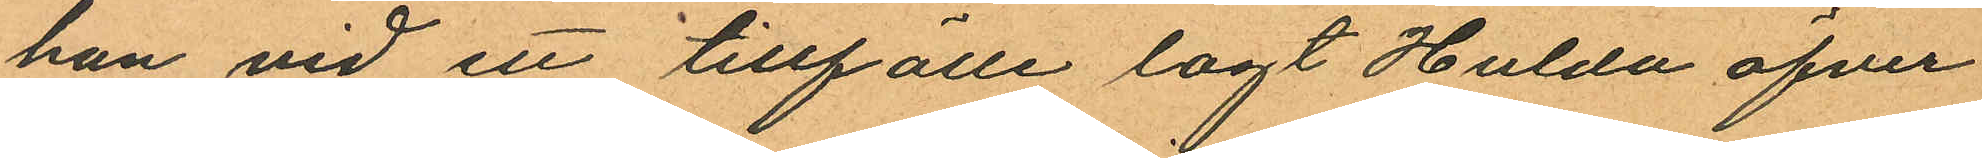han vid en tillfälle lagt Hulda öfver
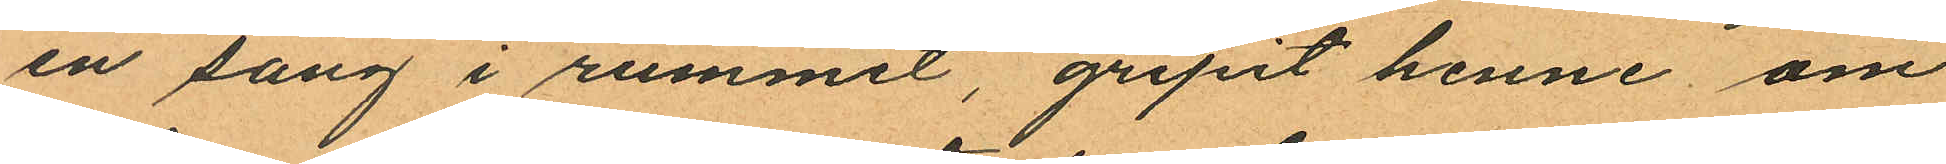en säng i rummet, gripit henne om
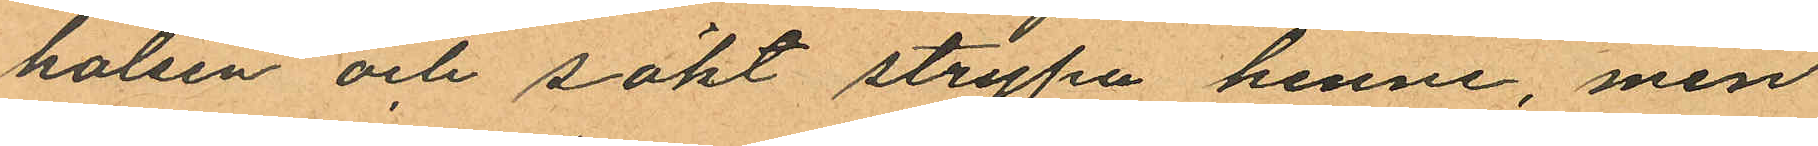halsen och sökt strypa henne, men
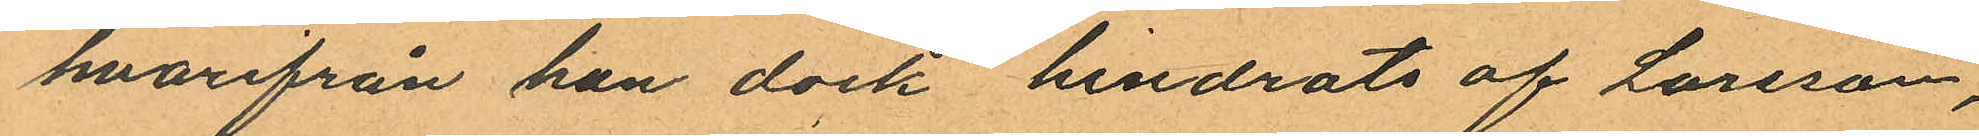hvarifrån han dock hindrats af Larsson,
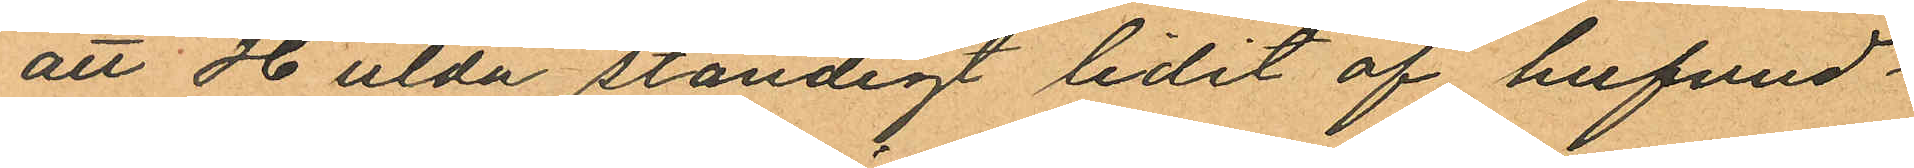att Hulda ständigt lidit af hufvud¬
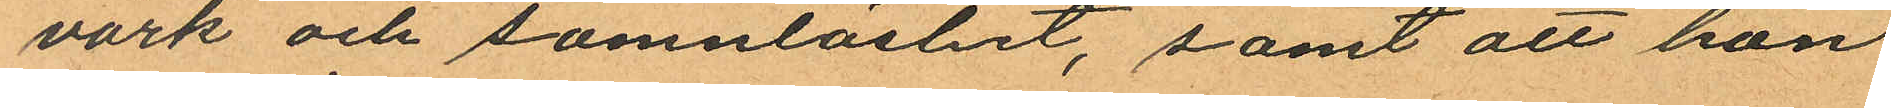värk och sömnlöshet, samt att hon
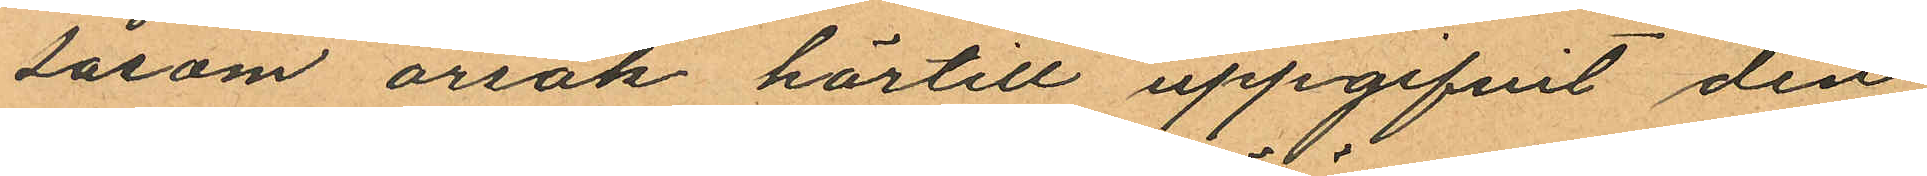såsom orsak härtill uppgifvit den
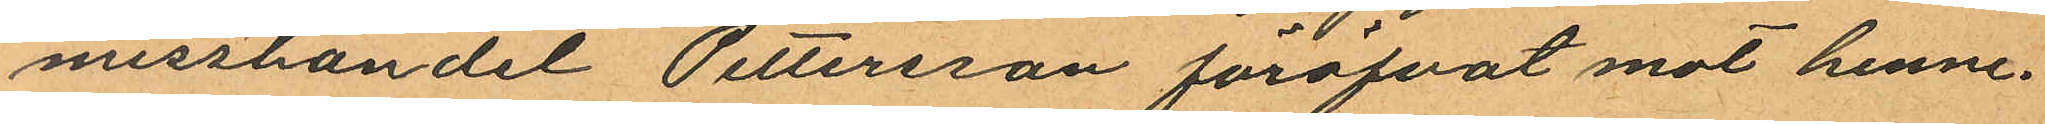misshandel Pettersson föröfvat mot henne.
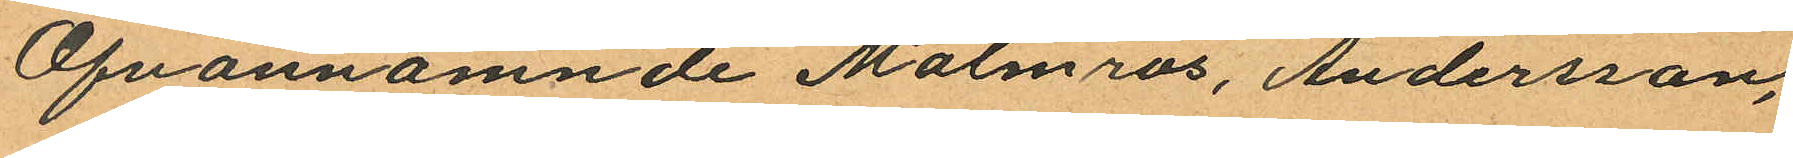Ofvannämnde Malmros, Andersson,
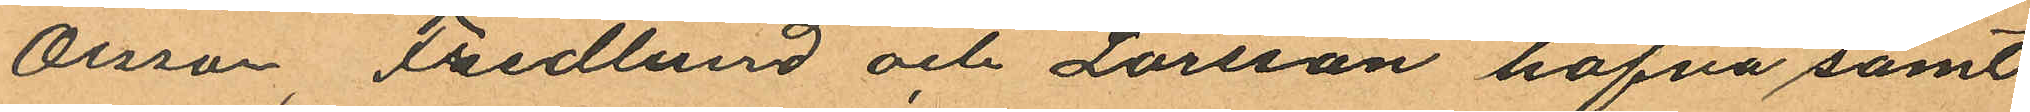Olsson, Fredlund och Larsson hafva samt
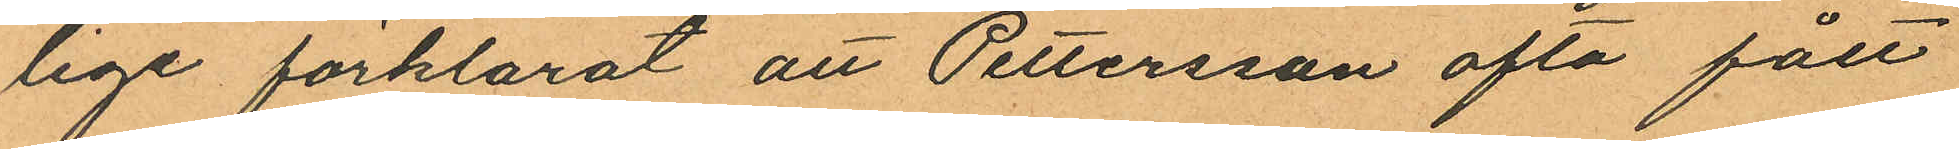lige förklarat att Pettersson ofta fått
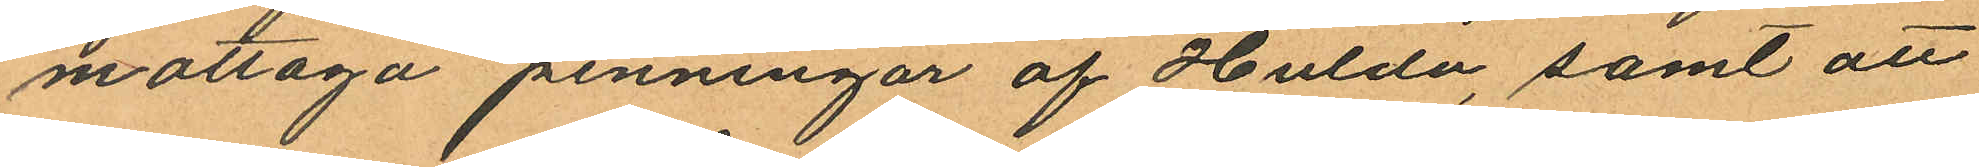mottaga penningar af Hulda, samt att
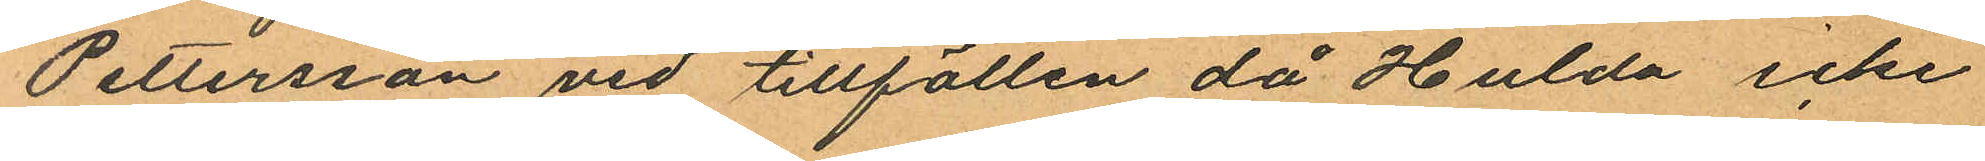Pettersson vid tillfällen då Hulda icke
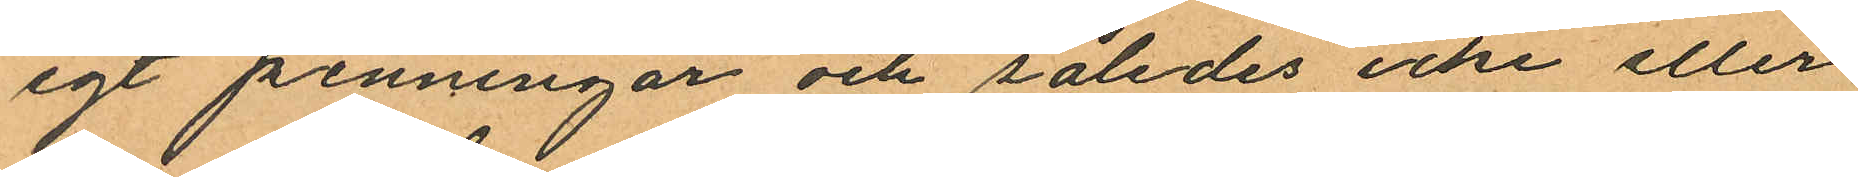egt penningar och således icke eller
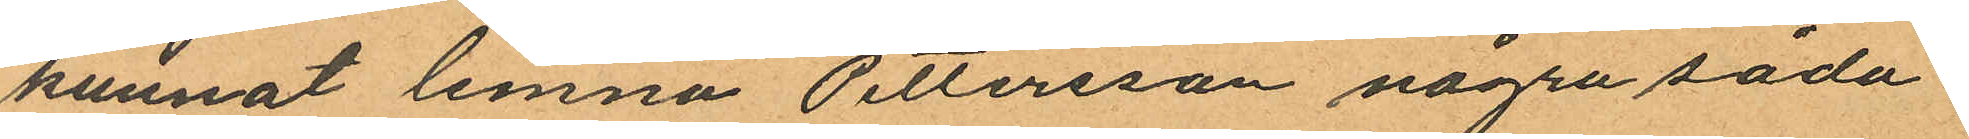kunnat lemna Pettersson några såda¬
